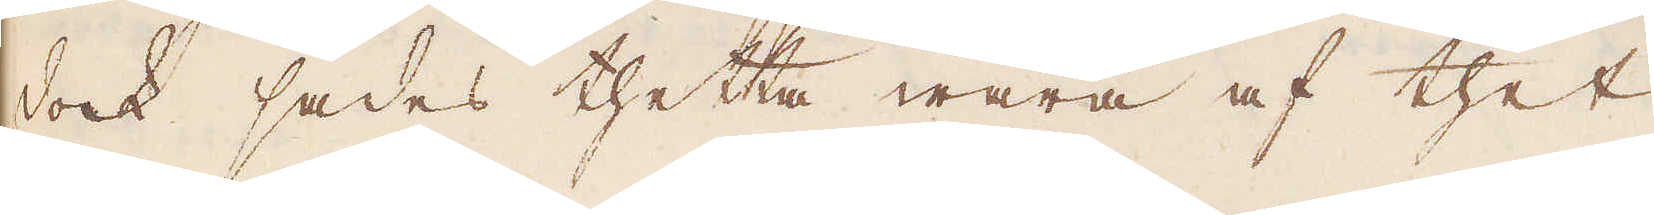dock sades thetta wara af thet
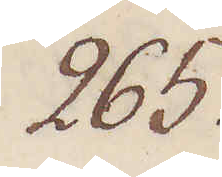265.
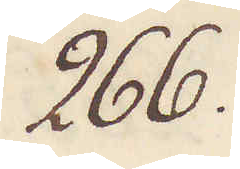266.
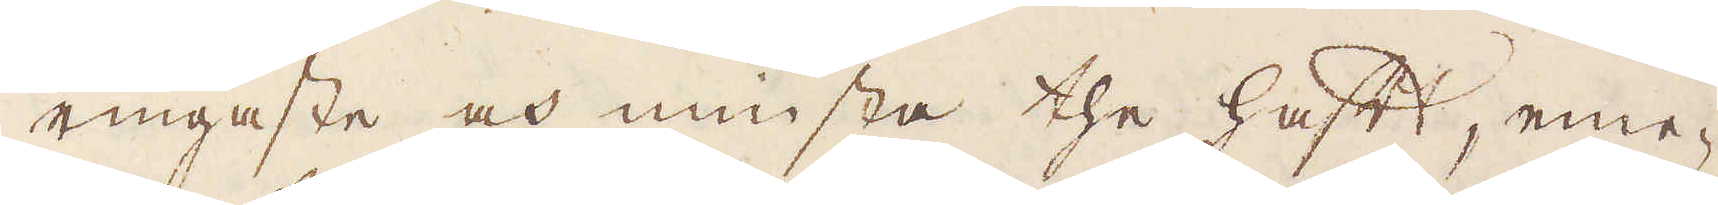ringaste och minsta the haft, eme-
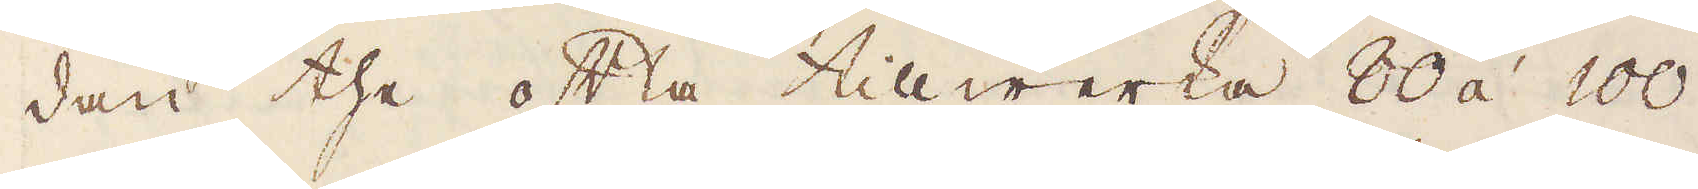dan the ofta tillwerka 80 á 100
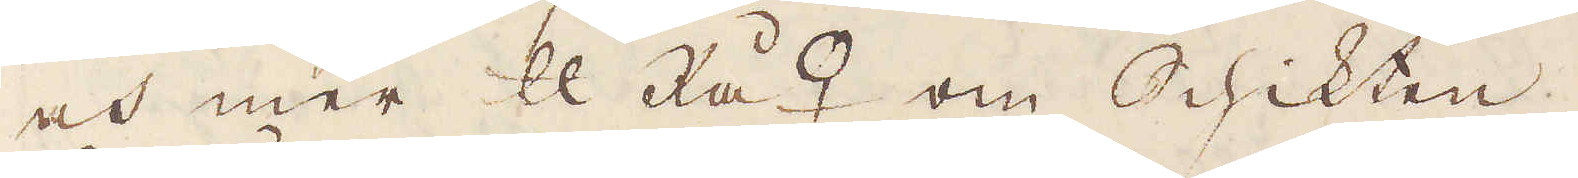och mer skålpund Rå♀ om Schikten.
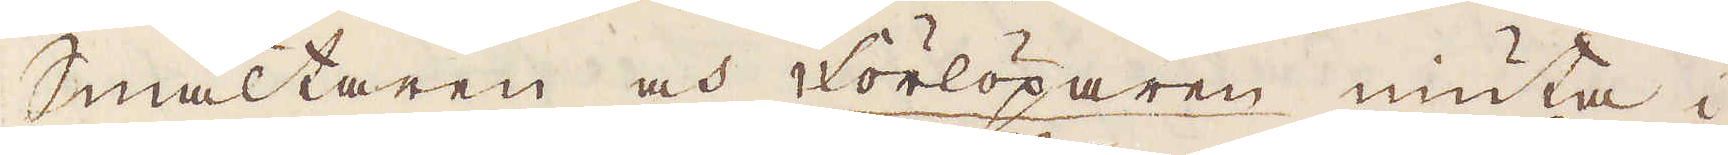Smältaren och Förlöparen niuta i
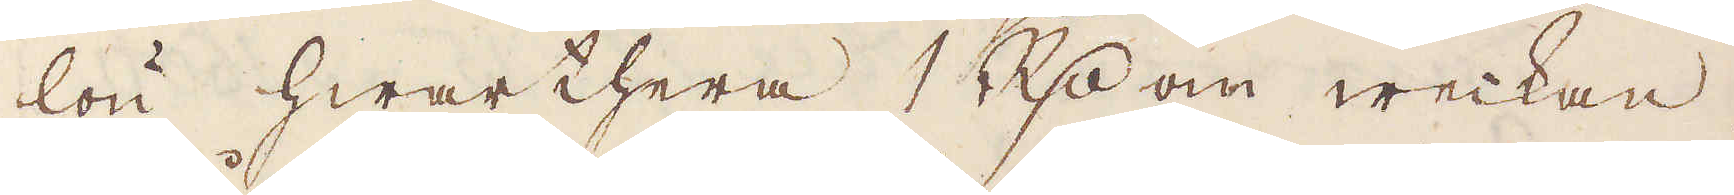lön hwarthera 1 R:dr om weckan.
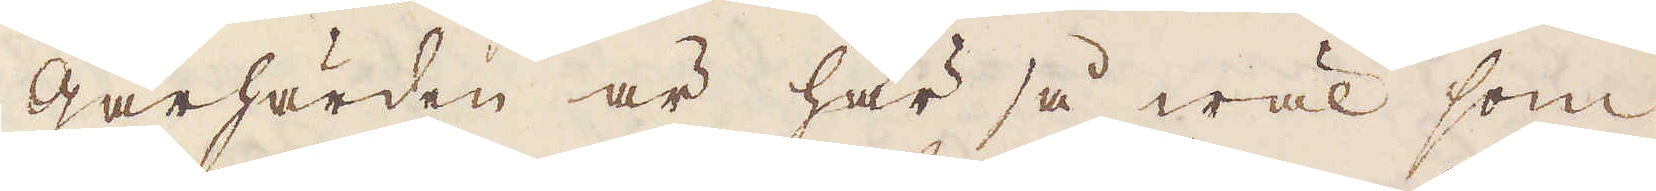Gårhärden är här så wäl som
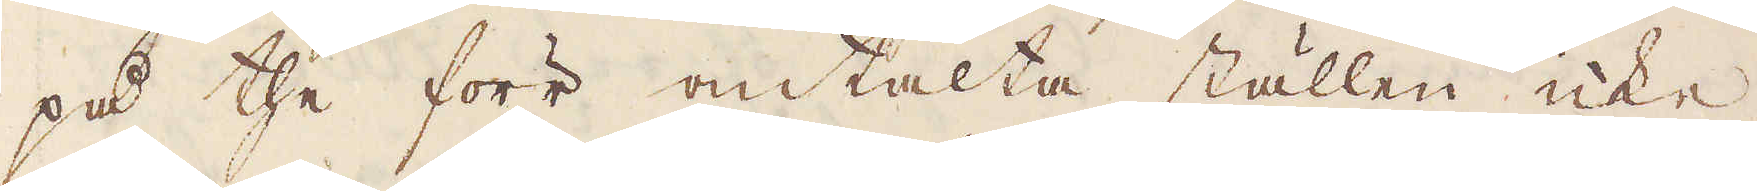på the förr omtalta ställen icke
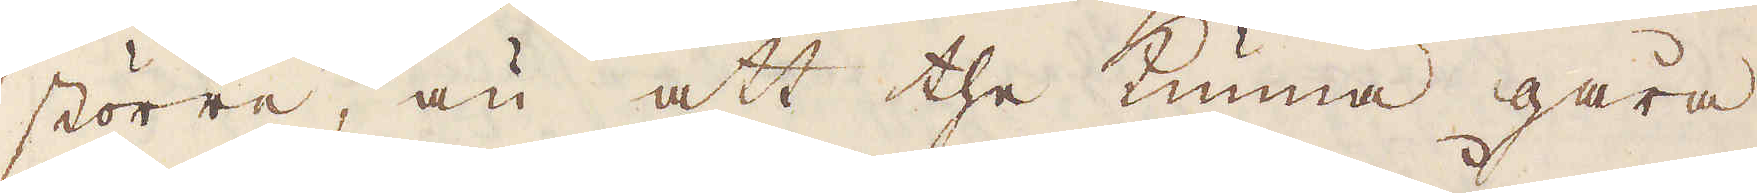större, än att the kunna gåra
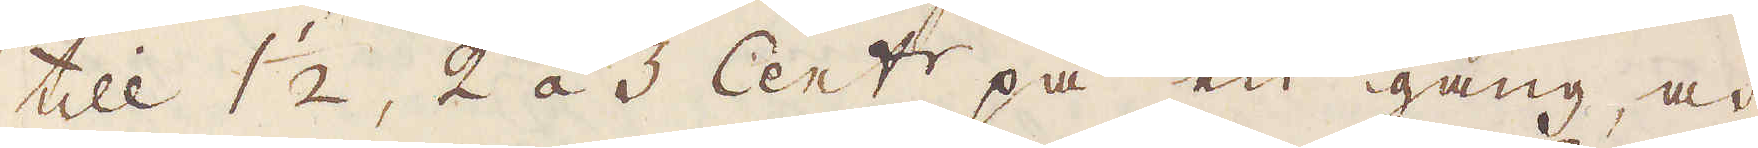till 1 1/2, 2 á 3 Cent:r på en gång, och
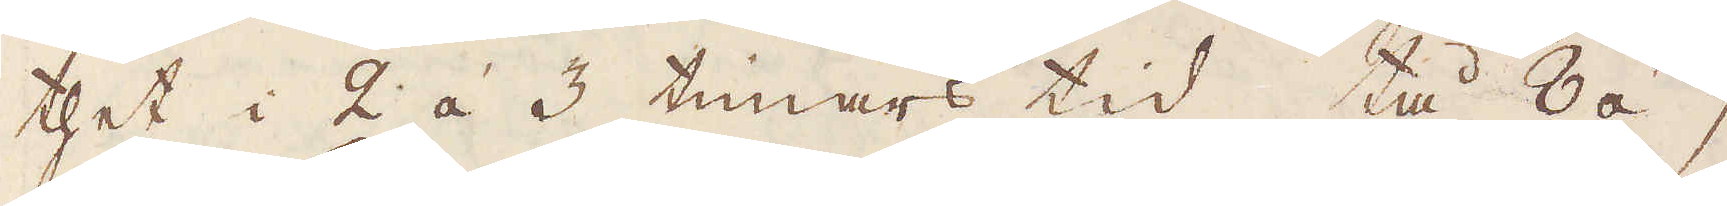thet i 2 á 3 timars tid, tå 8 á 9
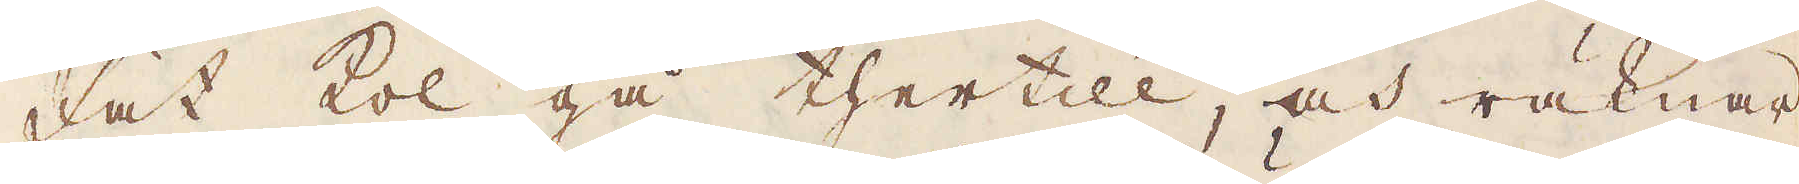fat kol gå thertill, och räknar
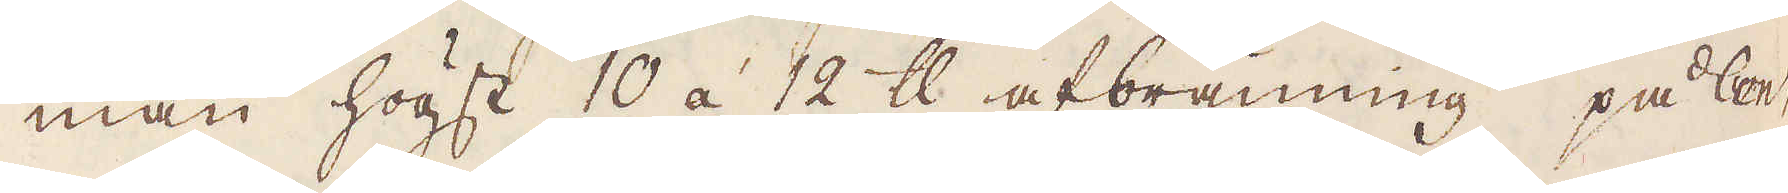man högst 10 á 12 skålpund afbränning på Cent.
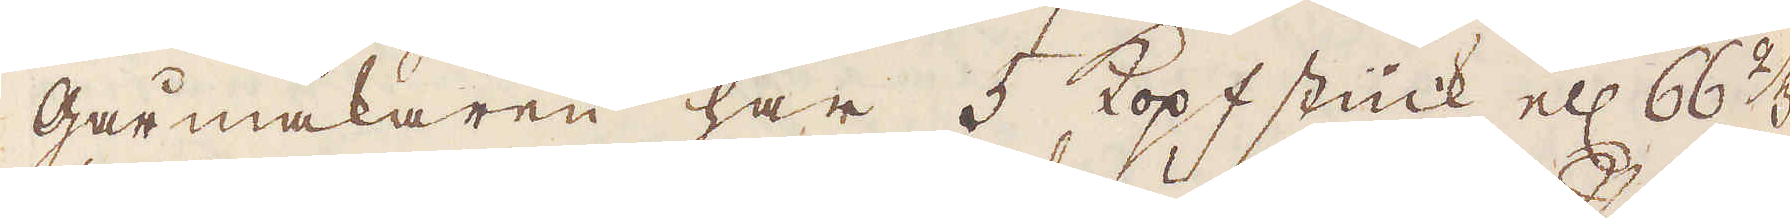Gårmakaren har 5 kopfstück ell: 66 2/3
